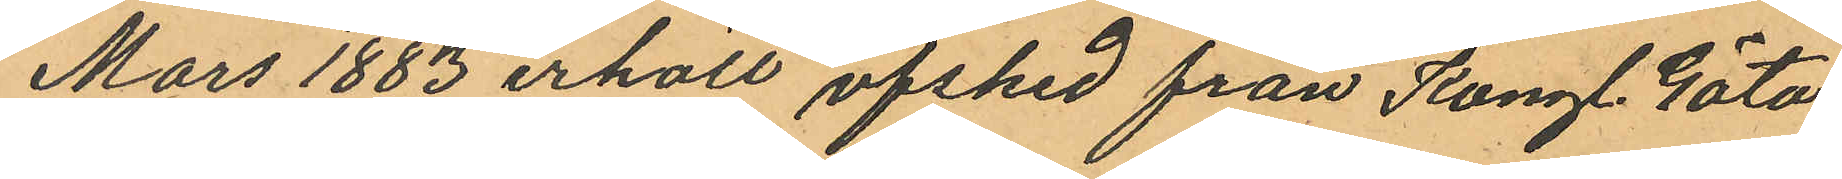Mars 1883 erhöll afsked från Kongl. Göta
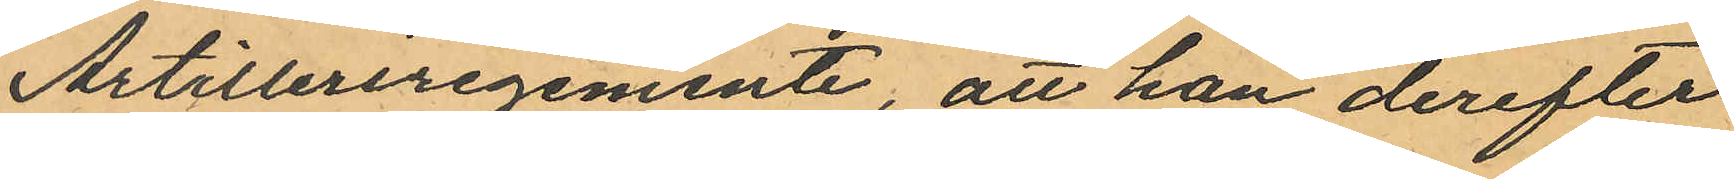Artilleriregemente, att han derefter
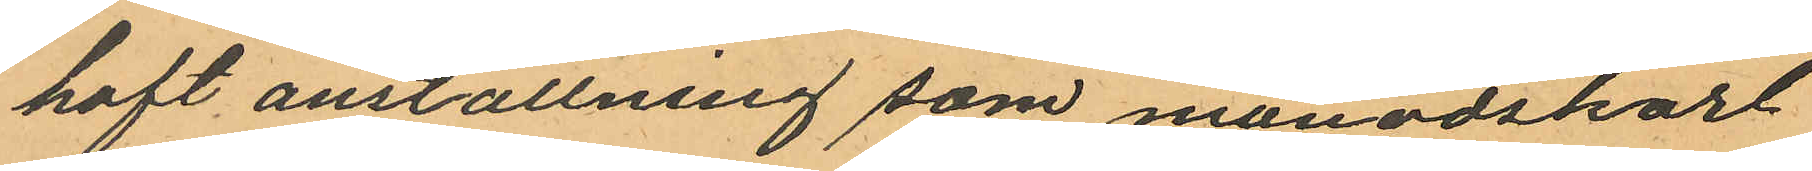haft anställning som månadskarl
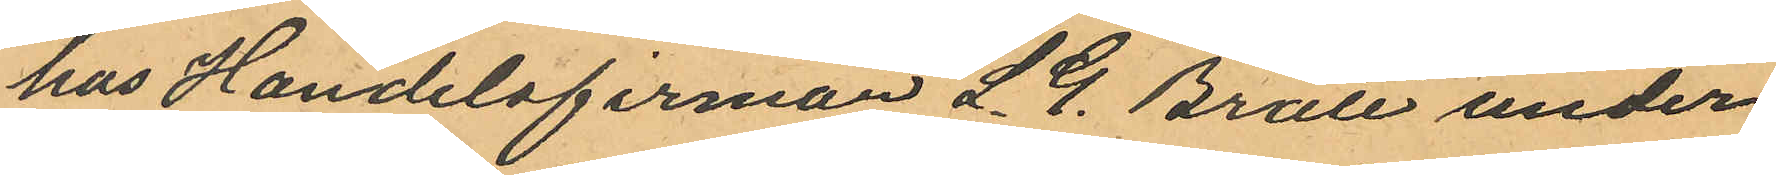hos Handelsfirman L. G. Bratt under
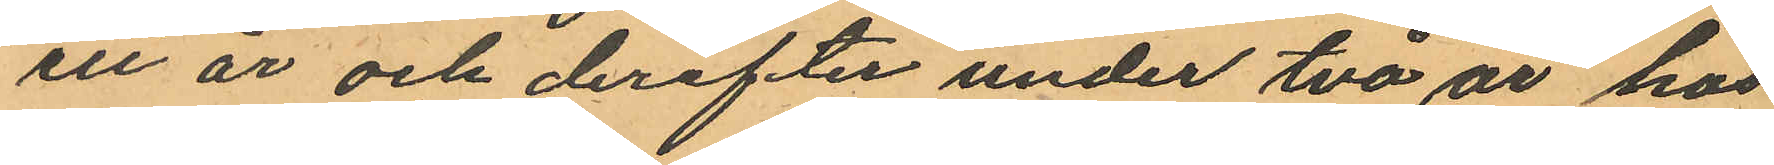ett år och derefter under två år hos
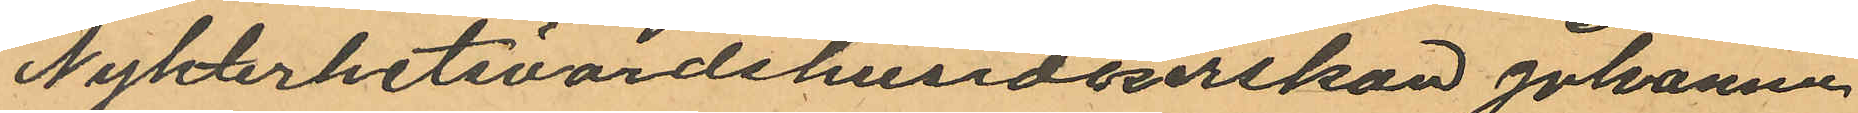Nykterhetsvärdshusidkerskan Johanna
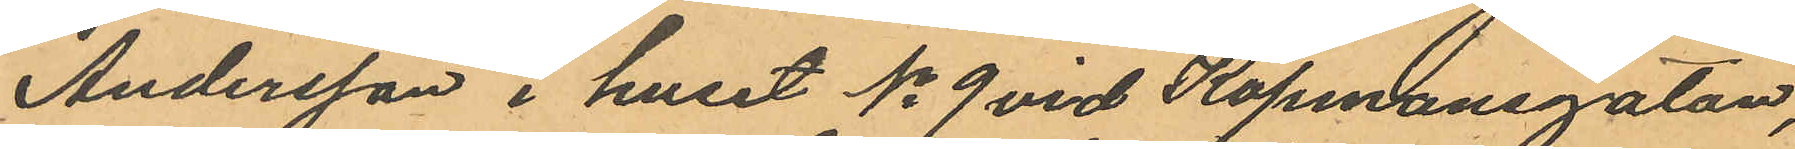Andersson i huset No 9 vid Köpmansgatan,
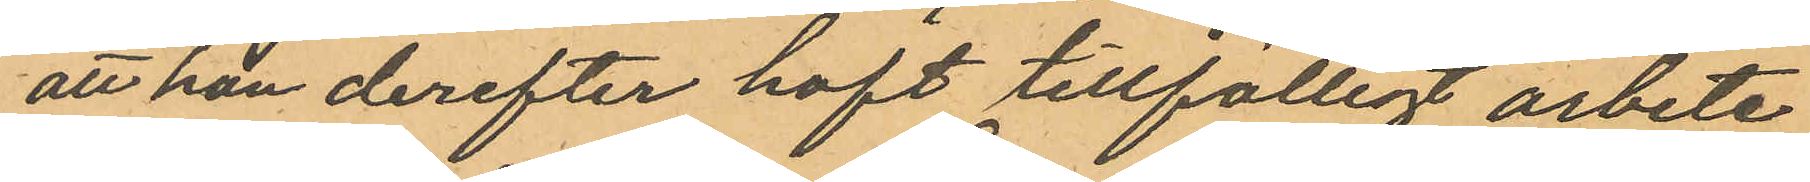att han derefter haft tillfälligt arbete
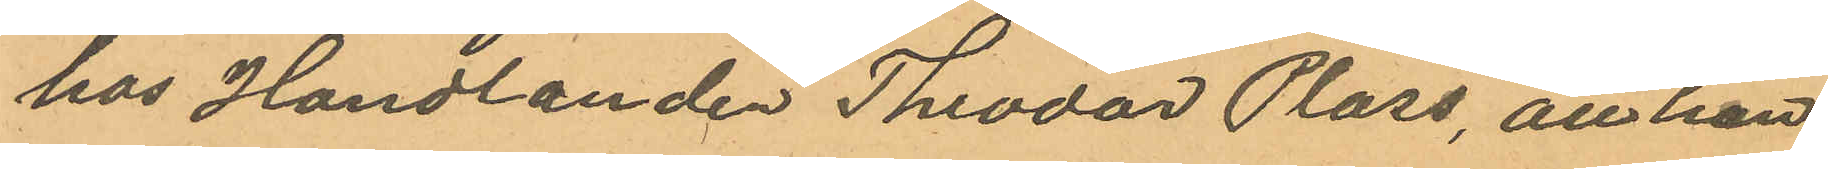hos Handlanden Theodor Plass, att han
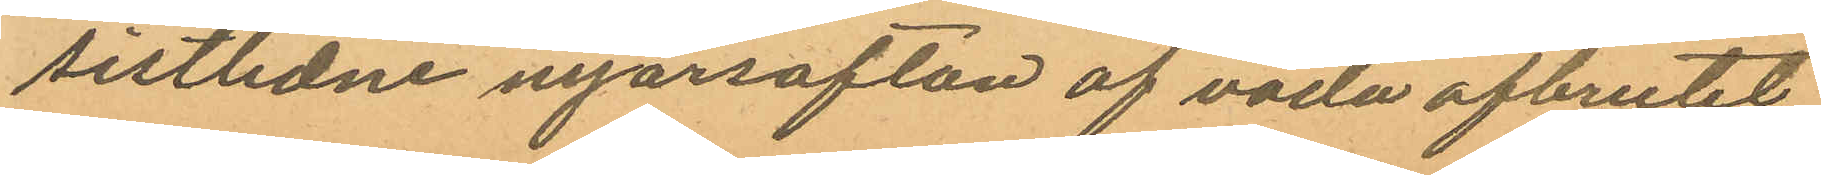sistlidne nyårsafton af våda afbrutit
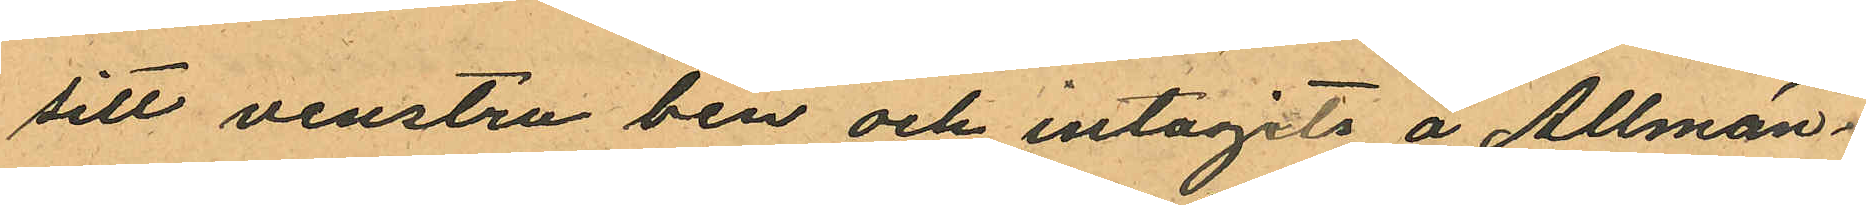sitt venstra ben och intagits å Allmän¬
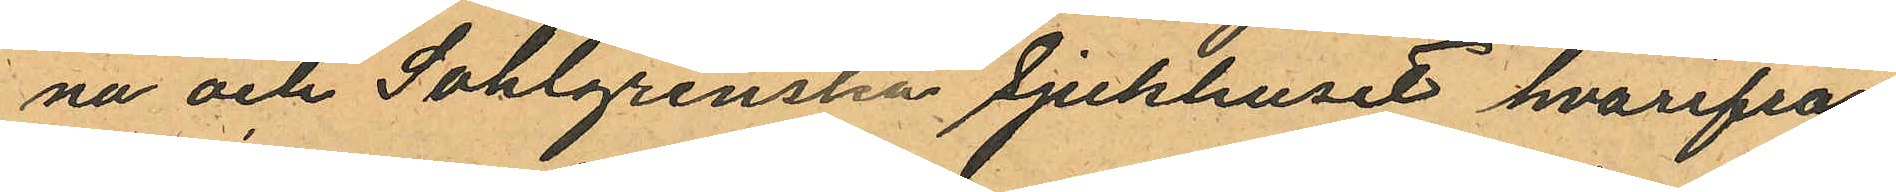na och Sahlgrenska Sjukhuset hvarifrån
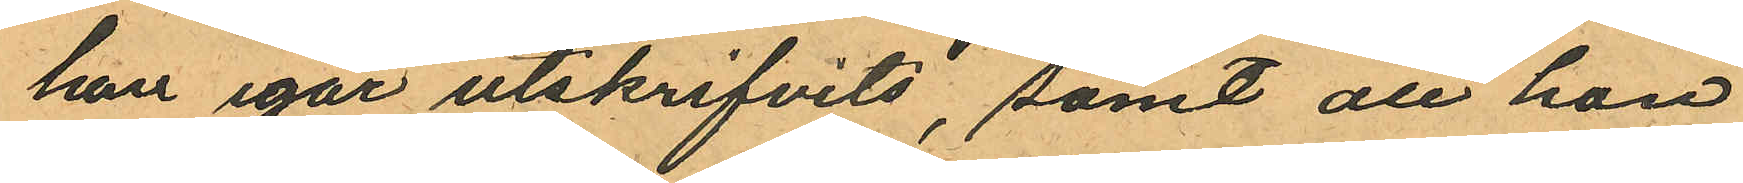han igår utskrifvits, samt att han
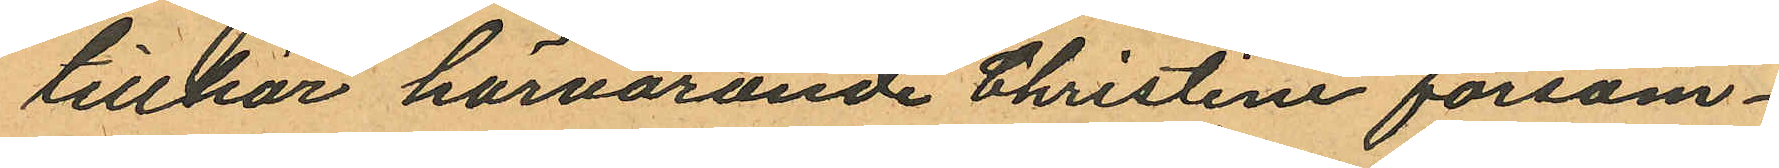tillhör härvarande Christine försam¬
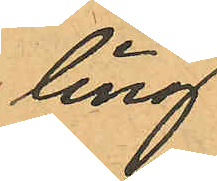ling.
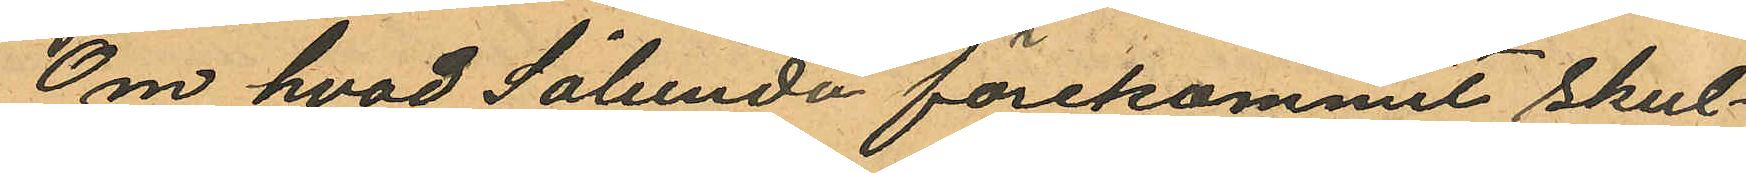Om hvad Sålunda förekommit, skul¬
